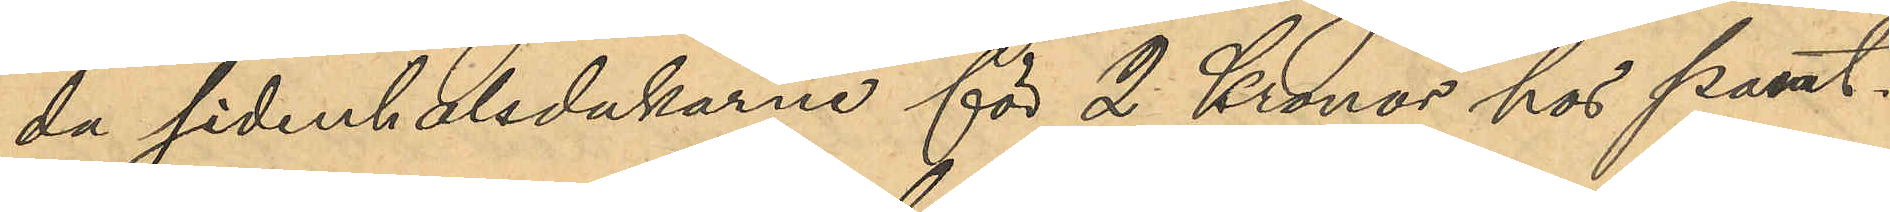da sidenhalsdukarne för 2 Kronor hos Pant¬
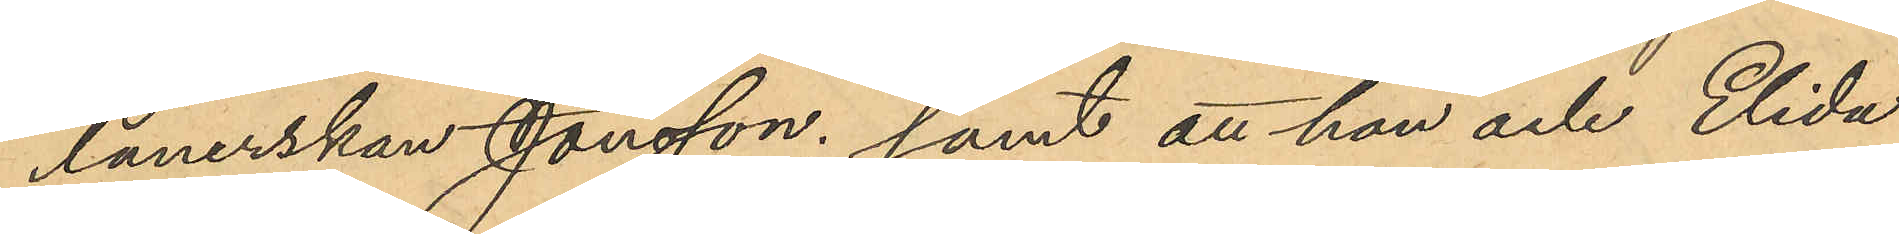lånerskan Jonsson; samt att hon och Elida
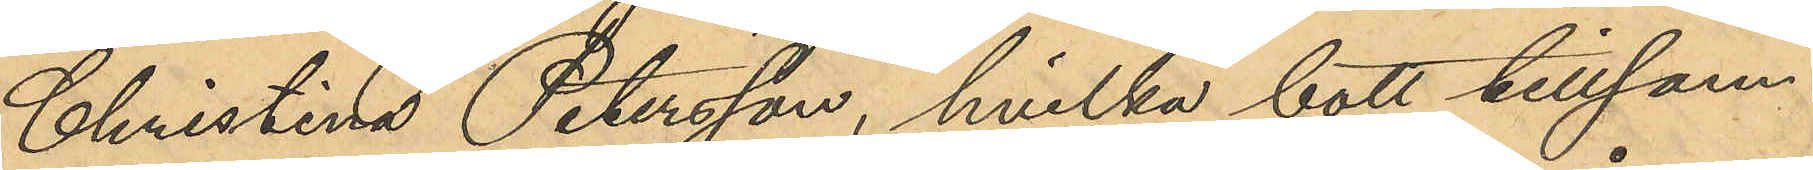Christina Petersson, hvilka bott tillsam¬
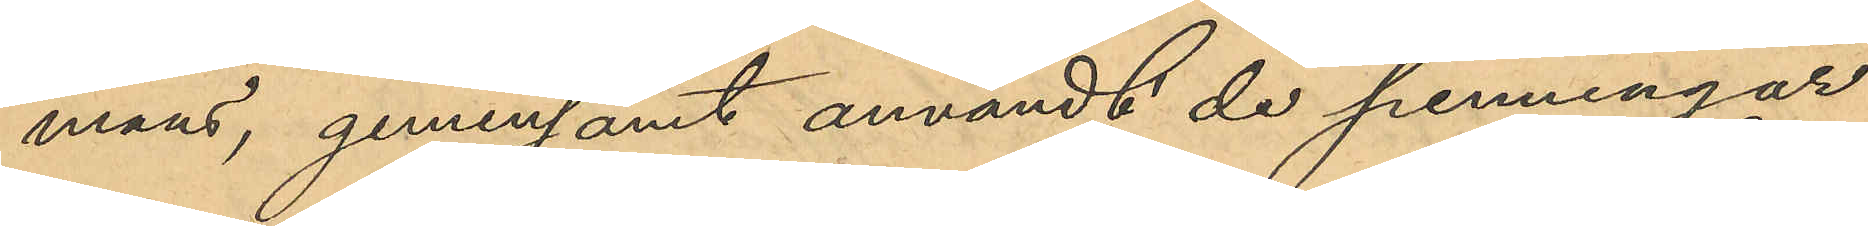mans, gemensamt användt de penningar
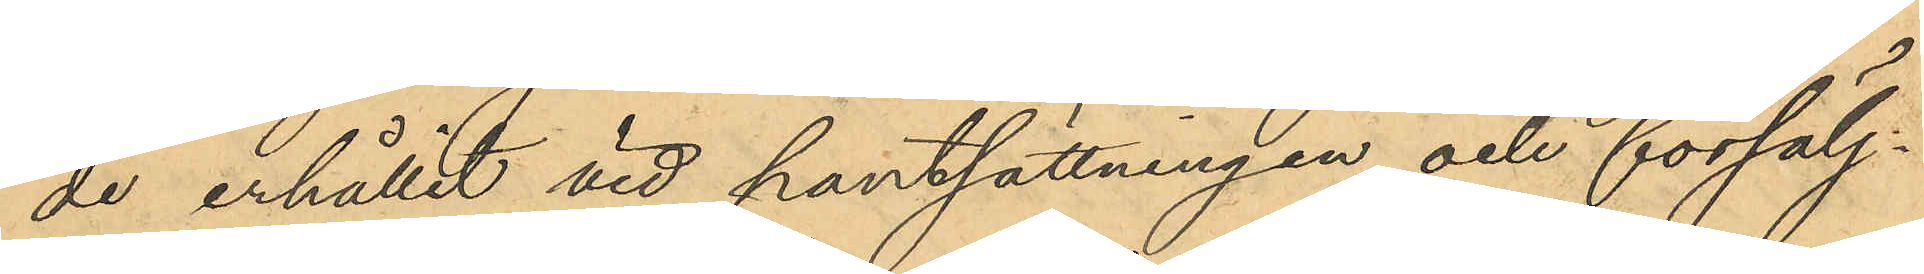de erhållit vid pantsättningen och försälj¬
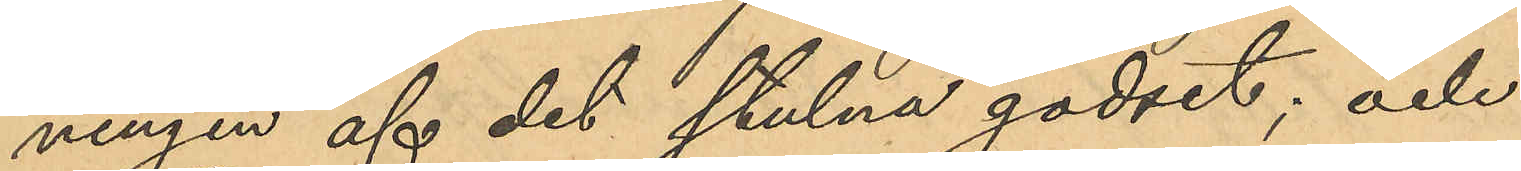ningen af det stulna godset; och
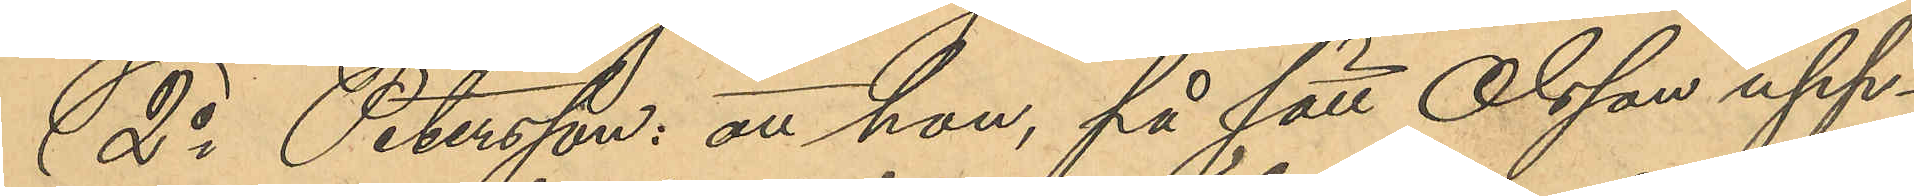2o Petersson: att hon, på sätt Olsson upp¬
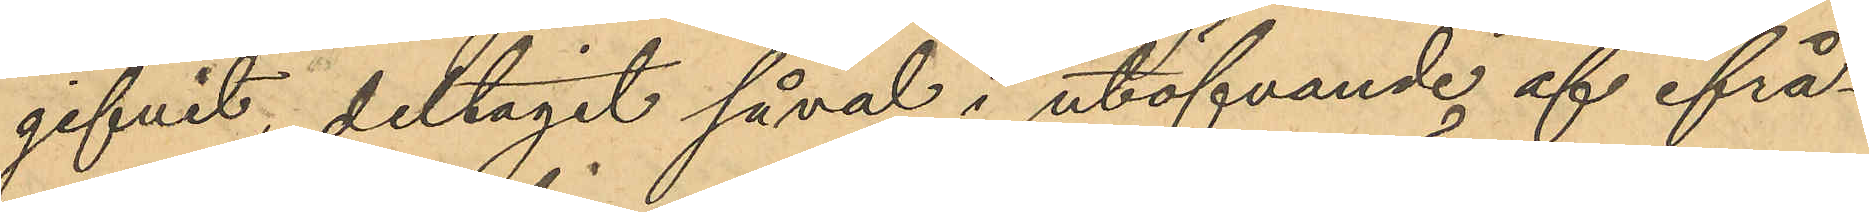gifvit, deltagit såväl i utöfvande af ifrå¬
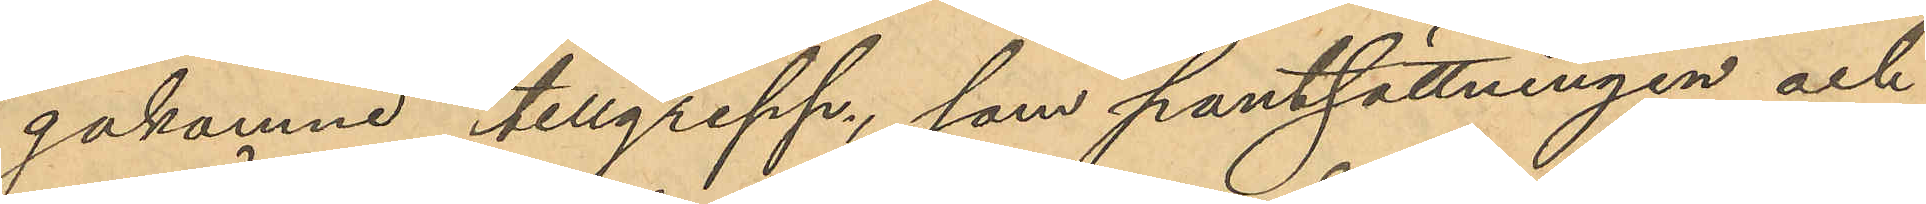gakomne tillgrepp, som pantsättningen och
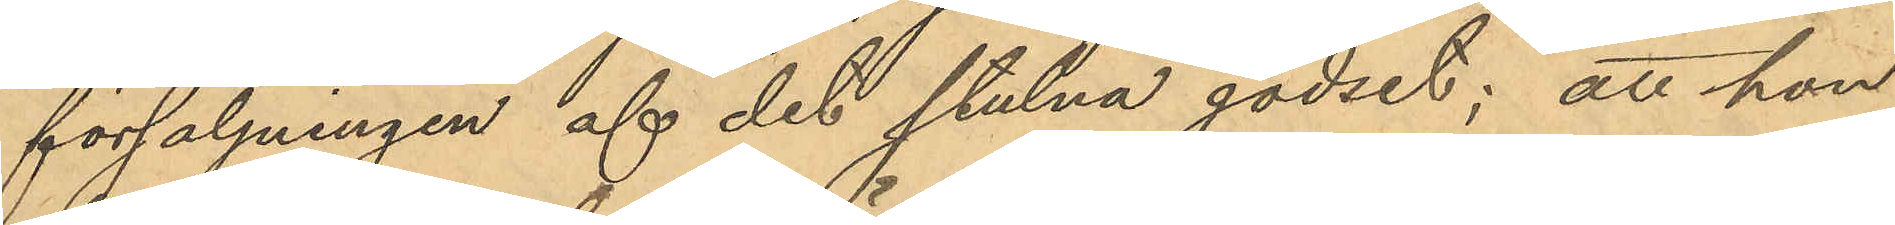försäljningen af det stulna godset; att hon
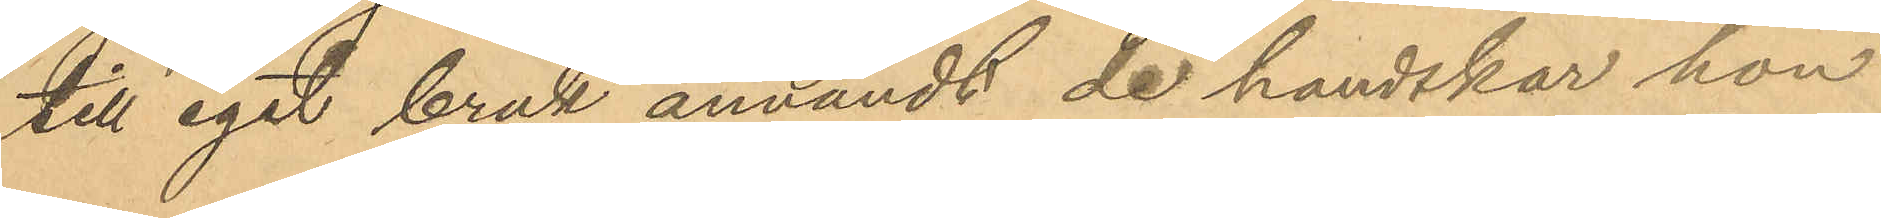till eget bruk användt de handskar hon
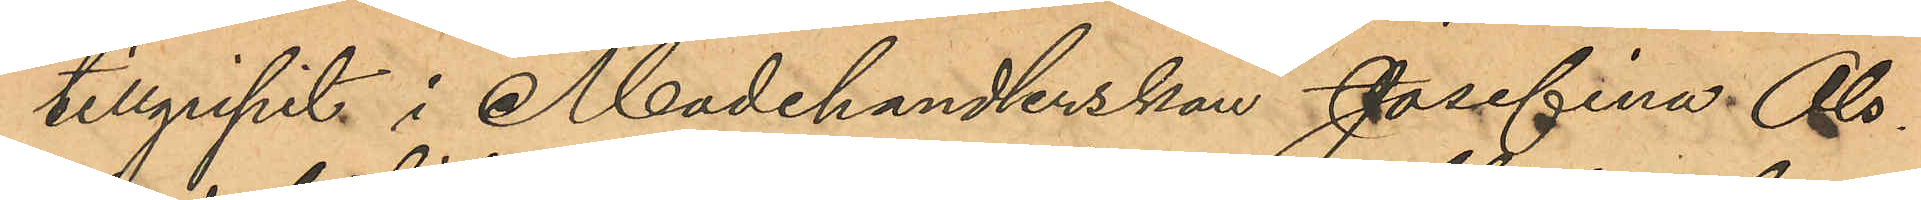tillgripit i Modehandlerskan Josefina Ols¬
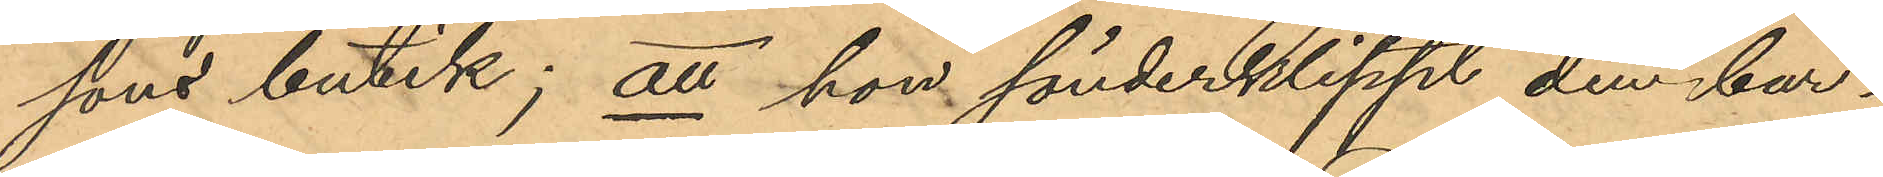sons butik; att hon sönderklippt den bar¬
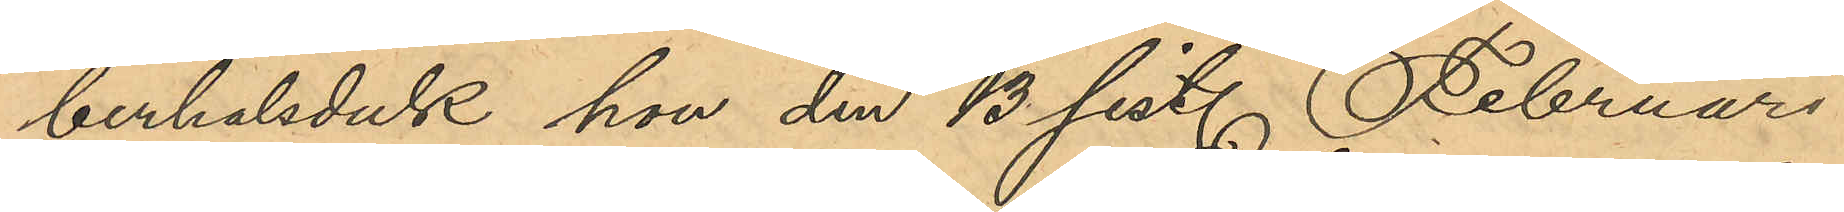berhalsduk hon den 13 sist. Februari
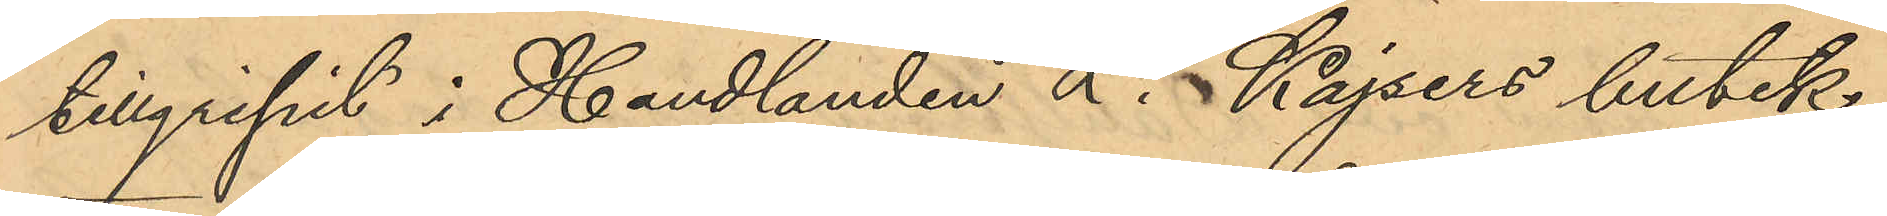tillgripit i Handlanden L. Kajsers butik;
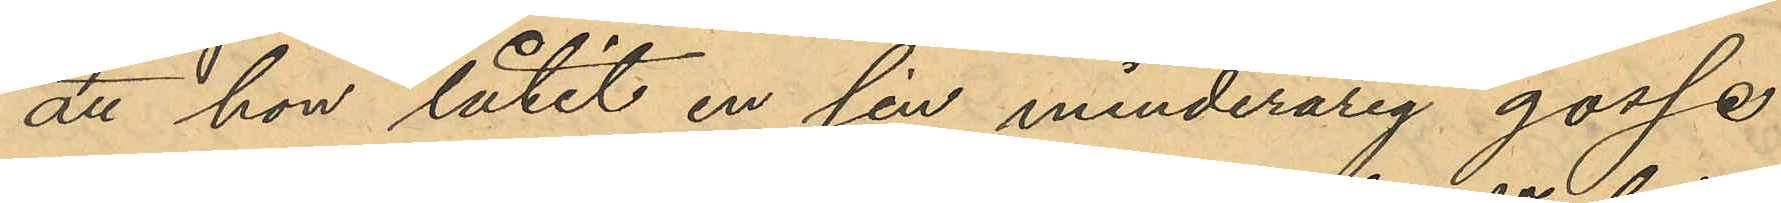att hon låtit en sin minderårig gosse
